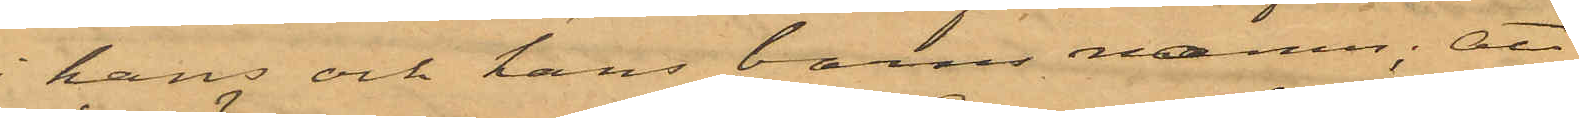i hans och hans barns namn; att
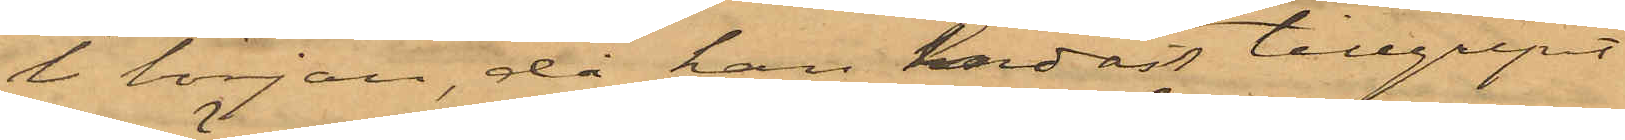i början, då han endast tillgripit
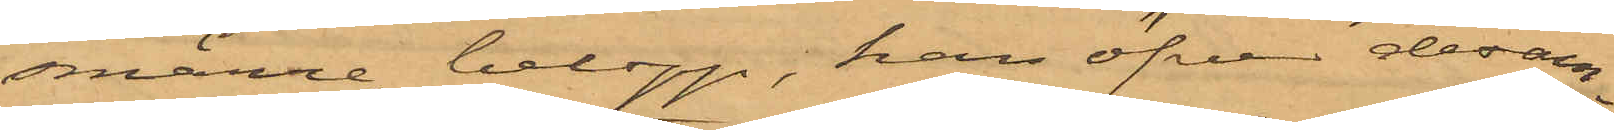smärre belopp, han öfver desam¬
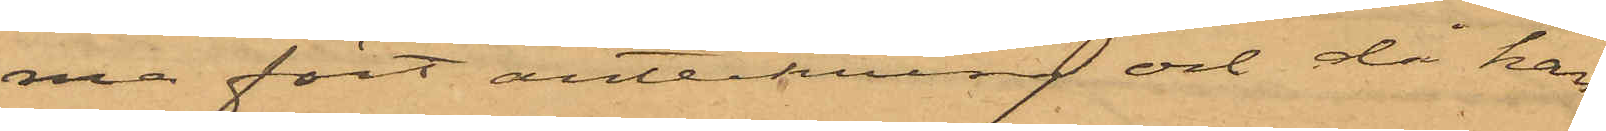ma fört anteckning och då han
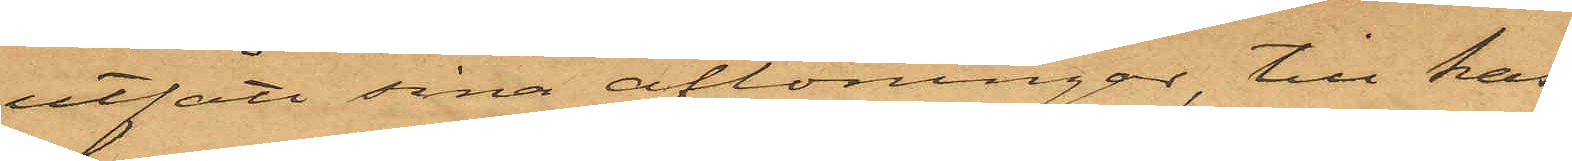utfått sina aflöningar, till kas¬
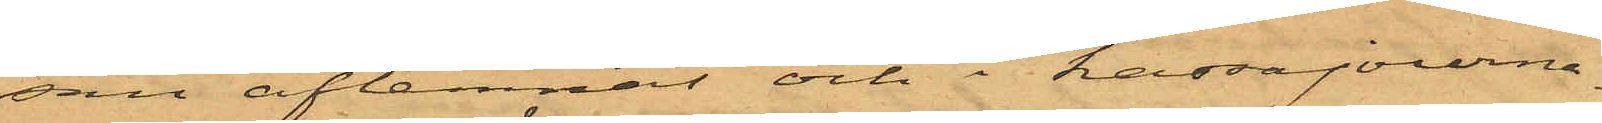san aflemnat och i kassajourna¬
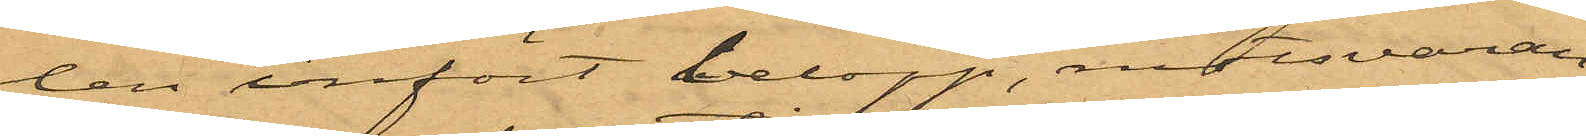len infört belopp, motsvaran¬
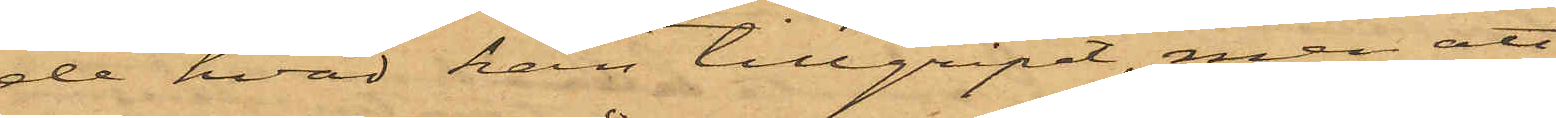de hvad han tillgripit, men att
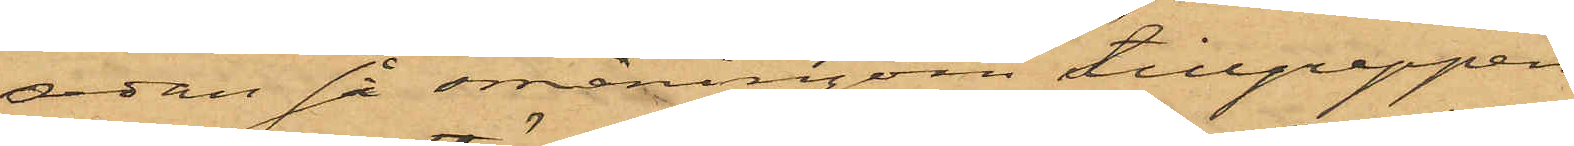sedan så småningom tillgreppen
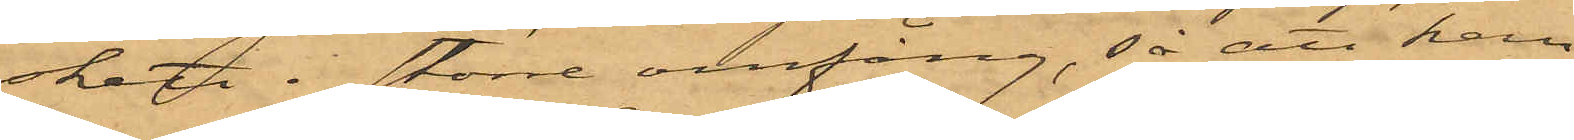skett i större omfång, så att han
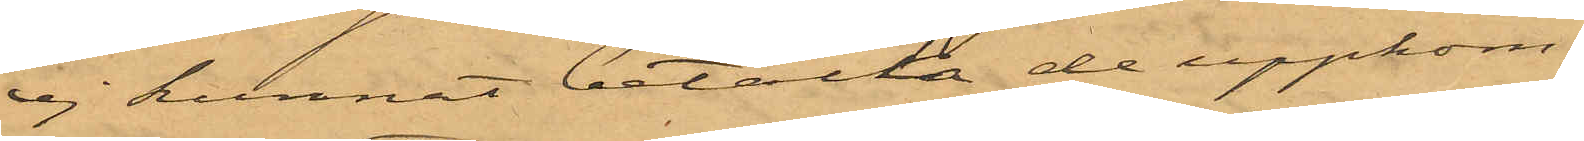ej kunnat betala de uppkom¬
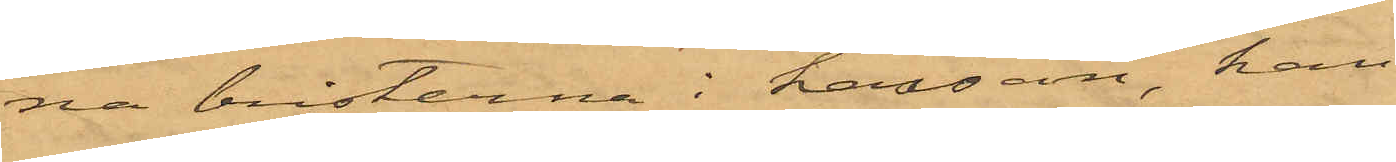na bristerna i kassan, han
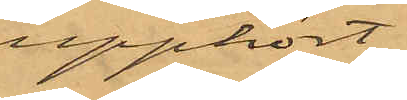upphört
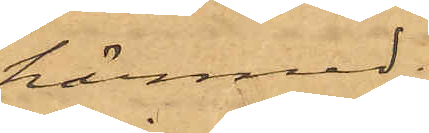härmed;
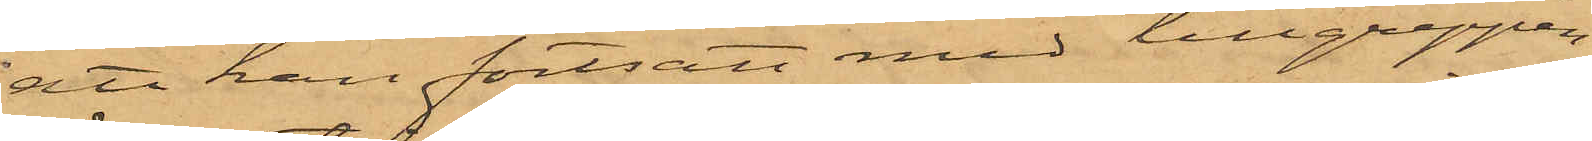att han fortsatt med tillgreppen
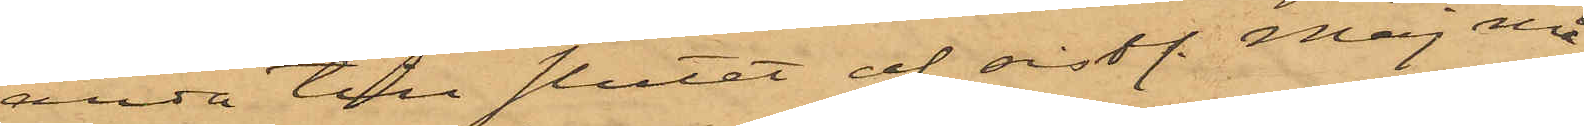ända till slutet af sist. Maj må¬
